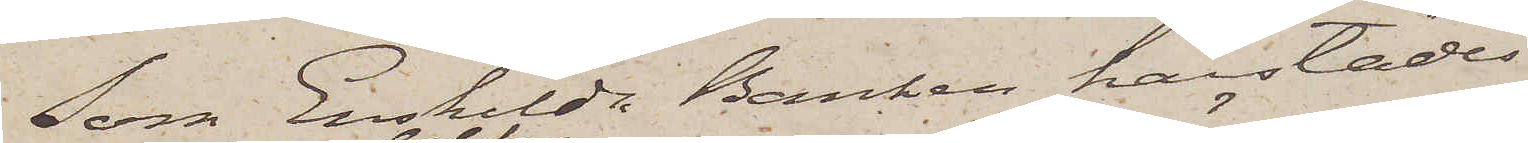Som Enskilda Banken härstädes
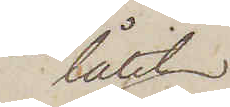låtit
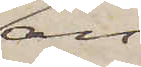an¬
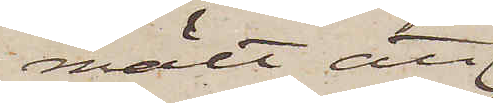mält att
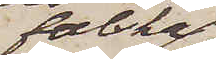falska
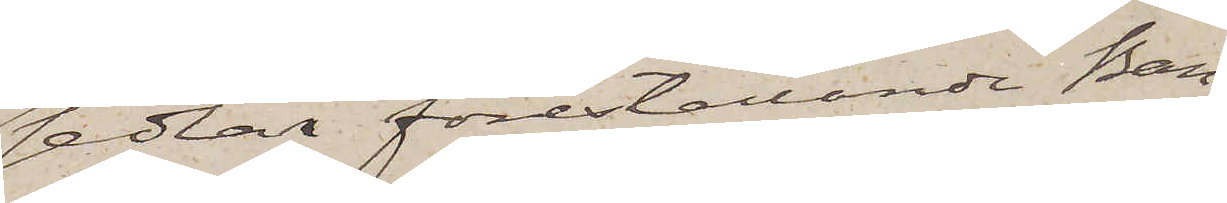sedlar föreställande Ban¬
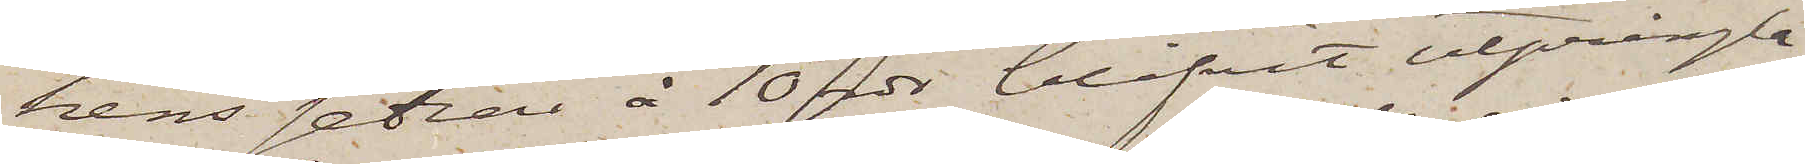kens sedlar å 10 rdr blifvit utprång¬
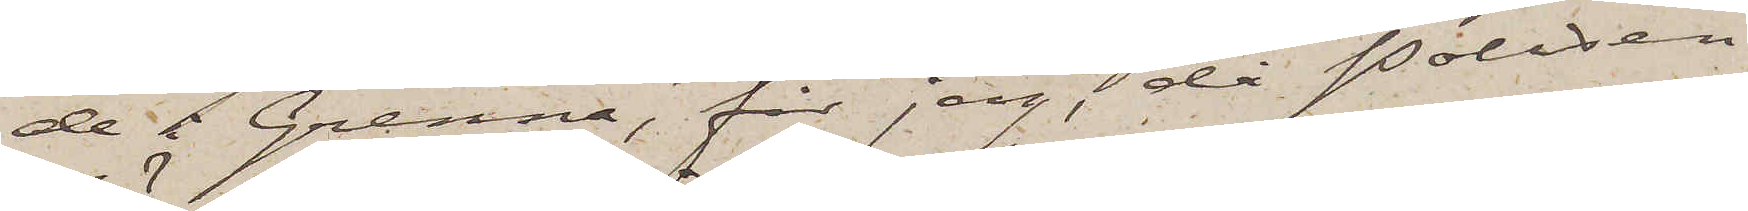de i Grenna, får jag, då Polisen
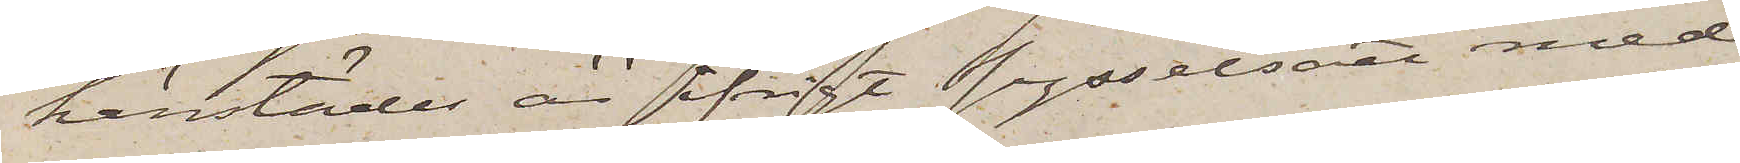härstädes är ifrigt sysselsatt med
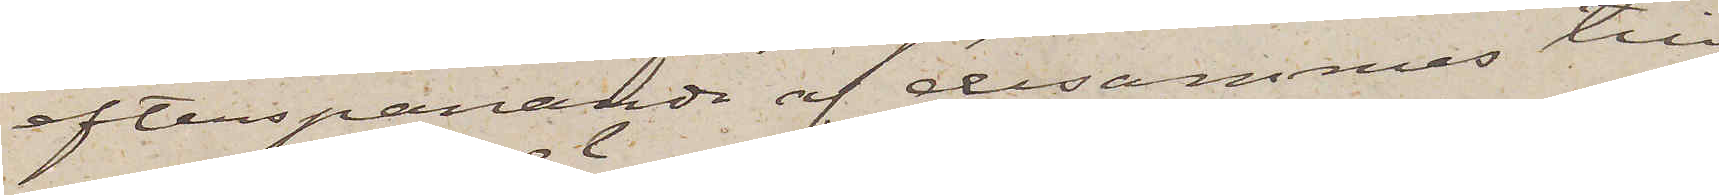efterspanande af desammas till¬
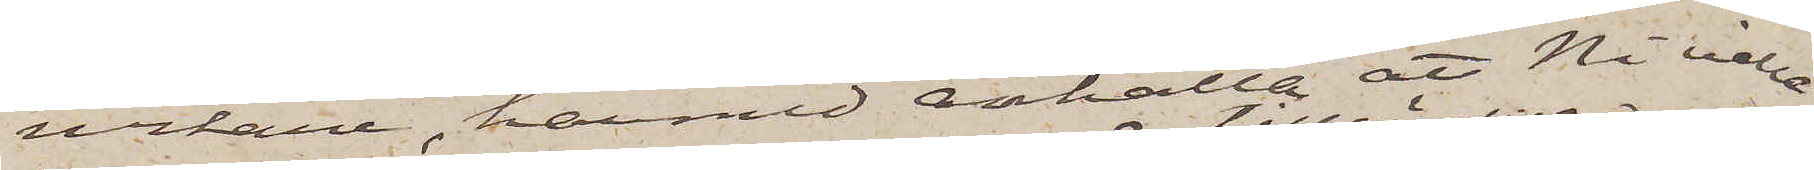verkare, härmed anhålla att Ni ville
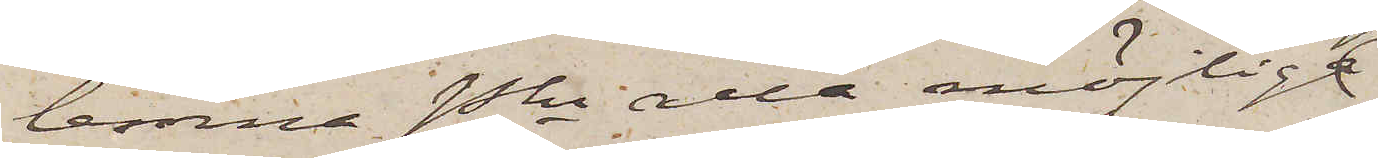lemna Pkn alla möjliga
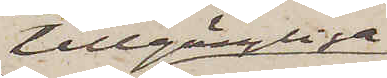tillgängliga
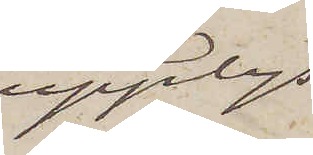upplys¬
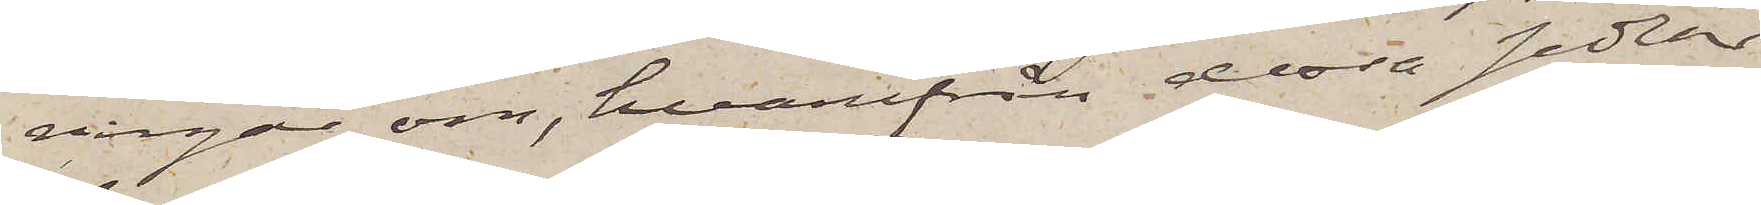ringar om, hvarifrån dessa sedlar
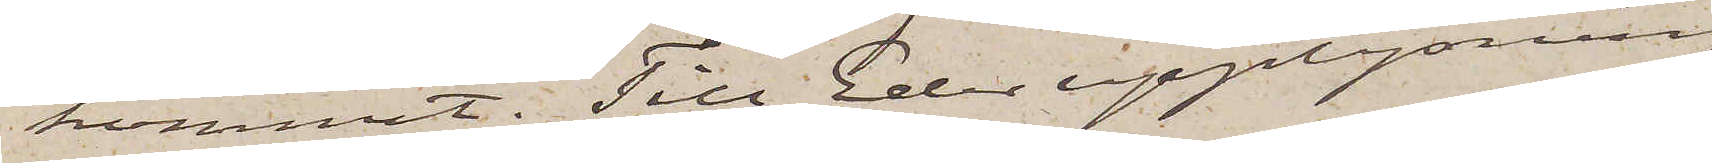kommit. Till Eder upplysning
